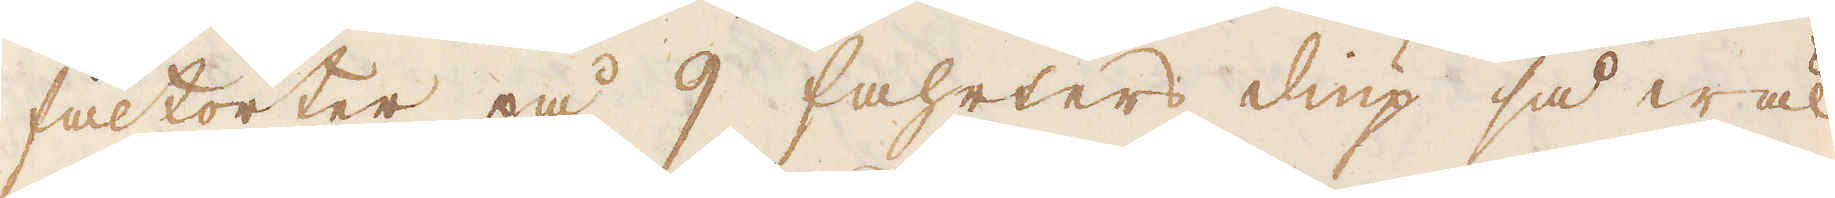fältorter på 9 fahrters diup så wäl
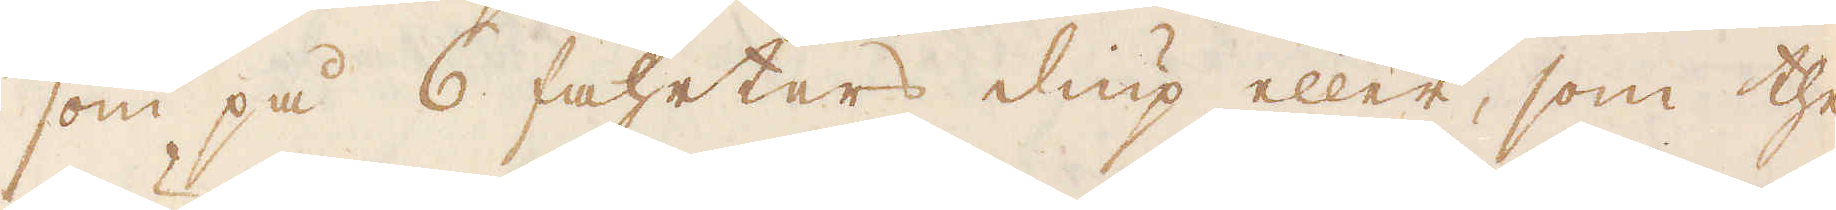som på 6 fahrters diup eller, som the
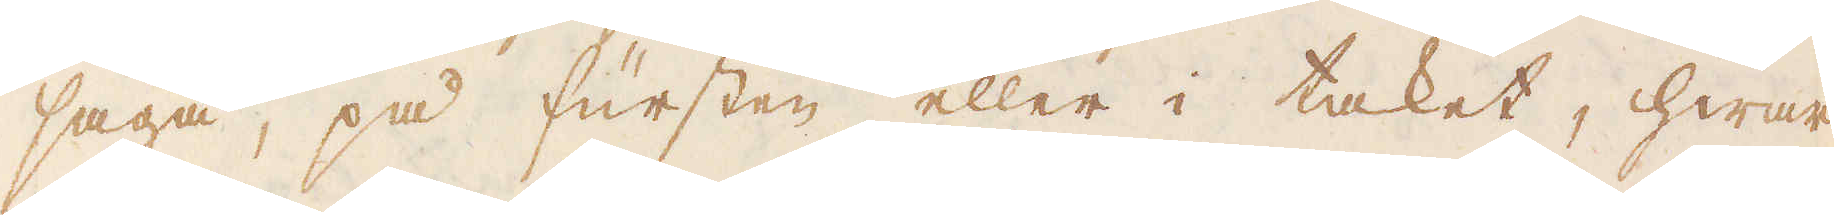säga, på fursten eller i taket, hwar
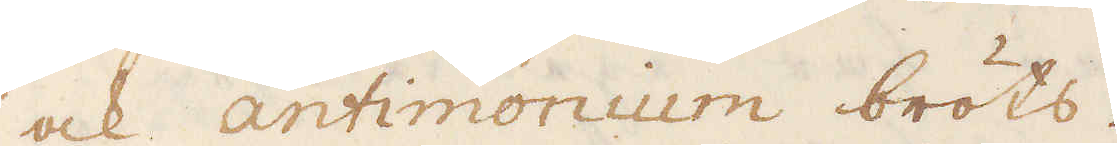ock antimonium bröts.
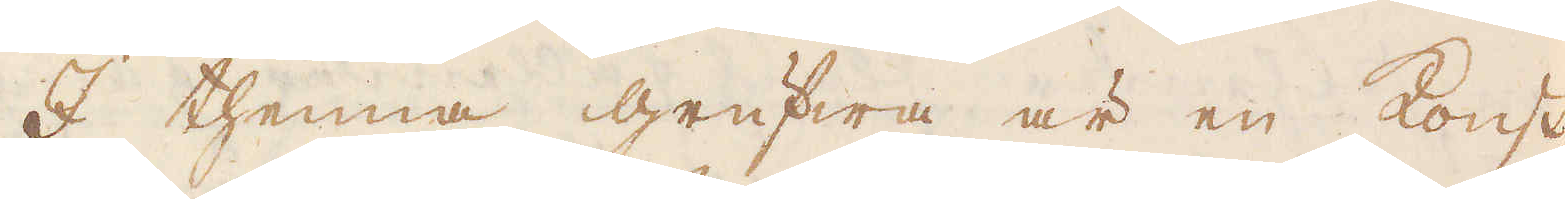I thenna grufwa är en konst,
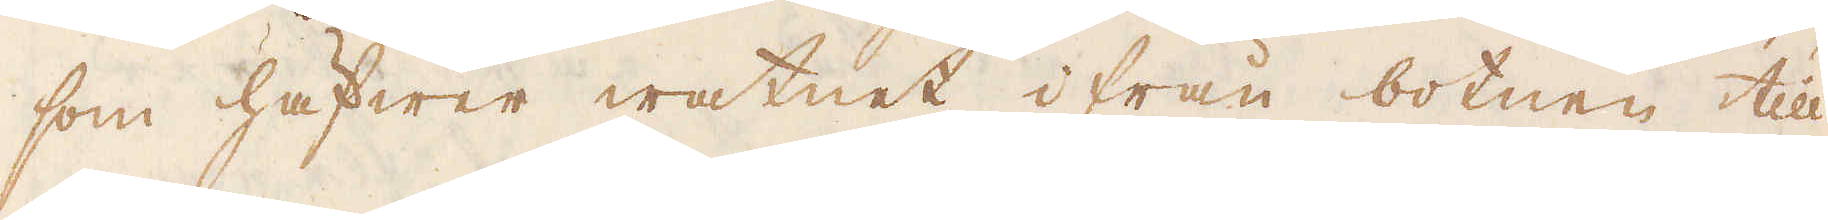som häfwer watnet ifrån botnen till
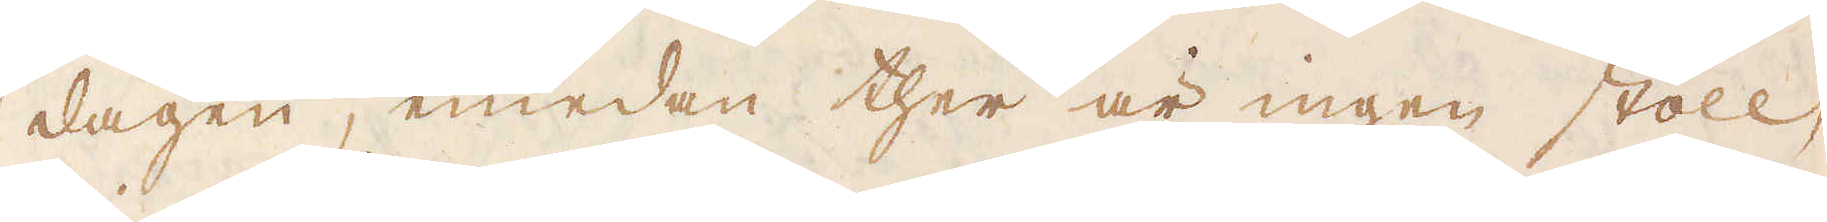dagen, emedan ther är ingen stoll,
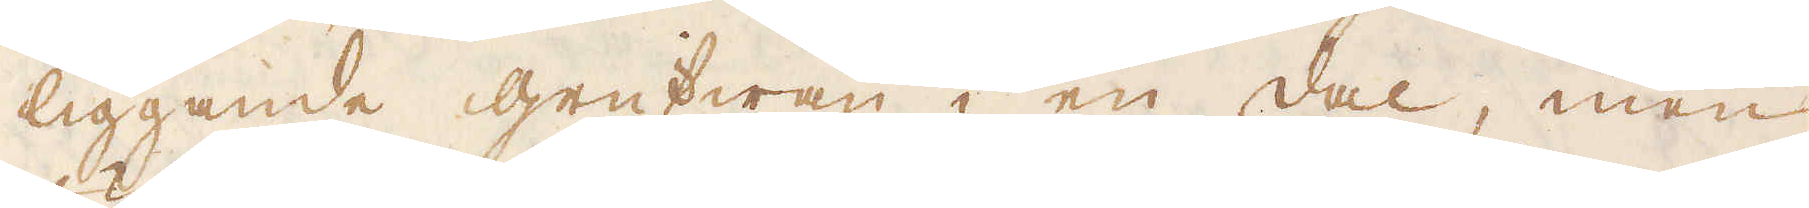liggande grufwan i en dal, men
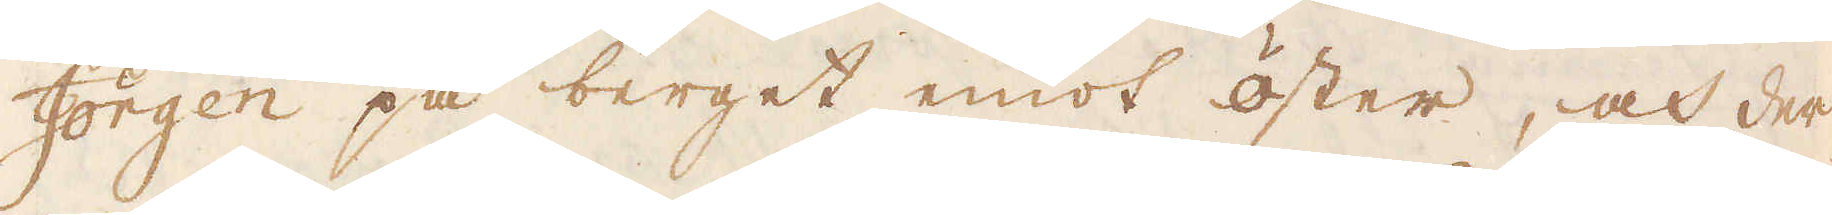Jörgen på berget emot öster, och der
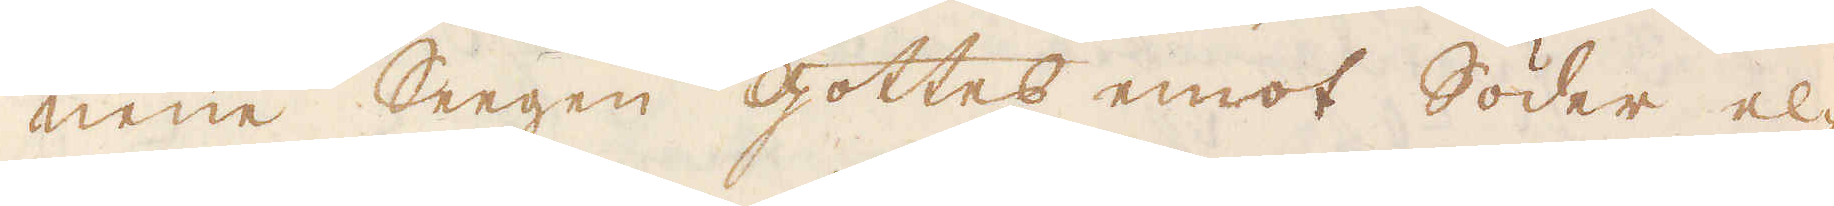neüe Seegen gottes emot Söder el-
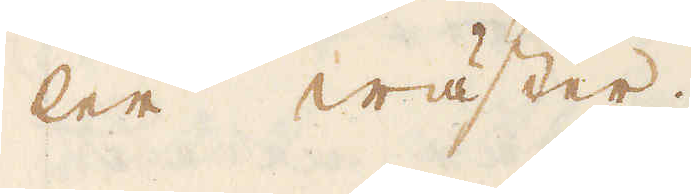ler wäster.
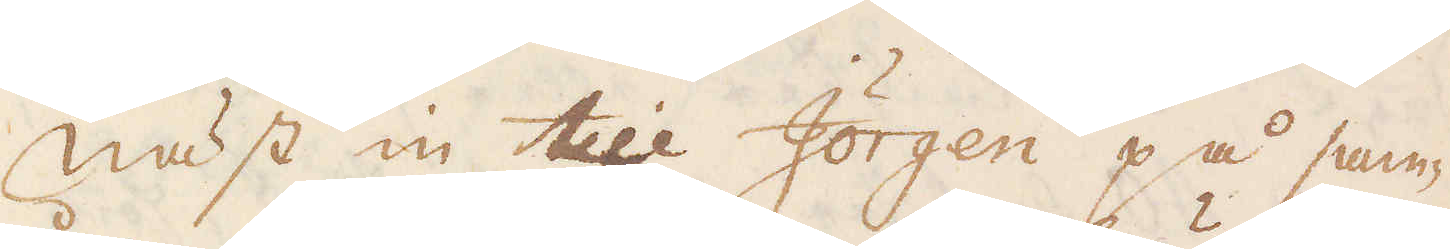Näst in till Jörgen på sam-
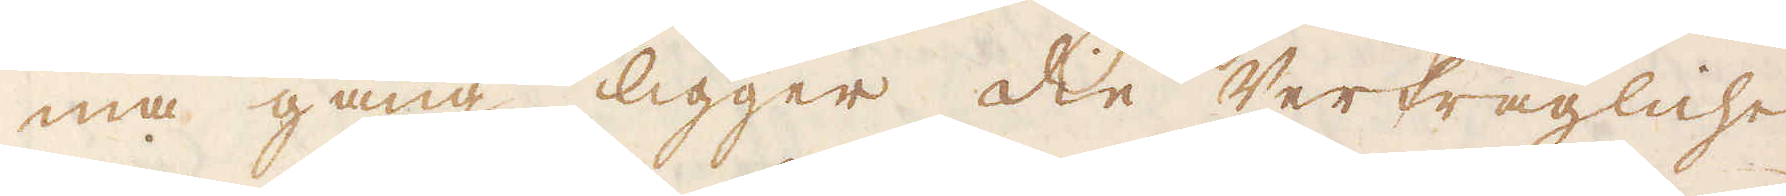ma gång ligger die Verfrägliche
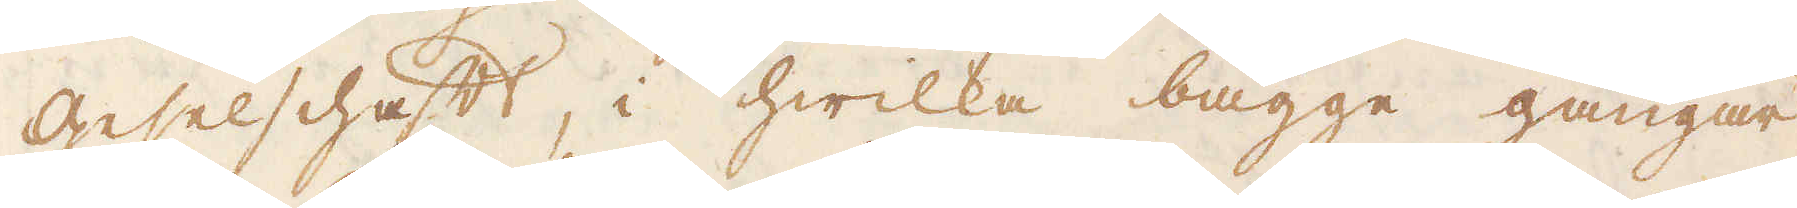Geselschaft, i hwilka bägge gångar
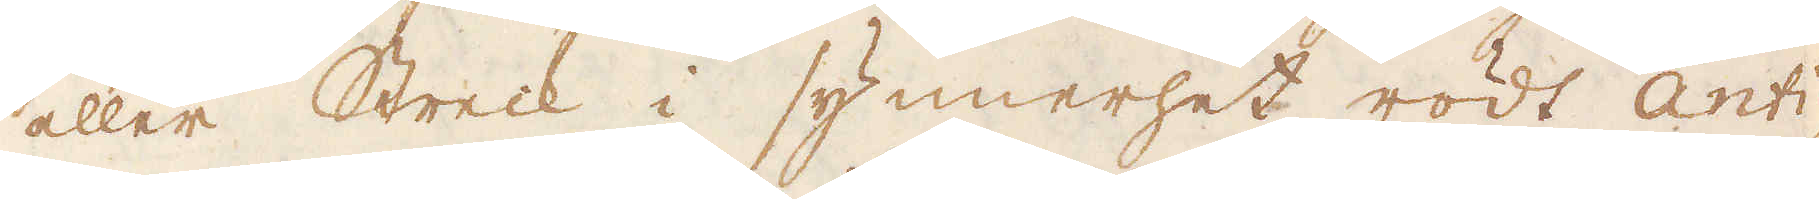eller Streck i synerhet rödt Anti-
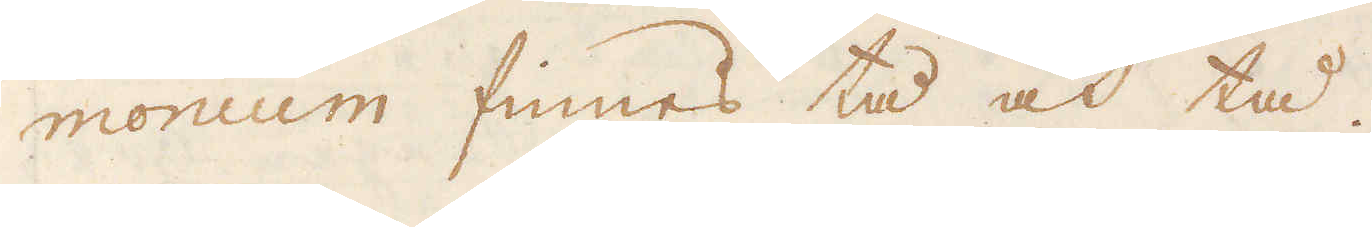monium finnes tå och tå.
